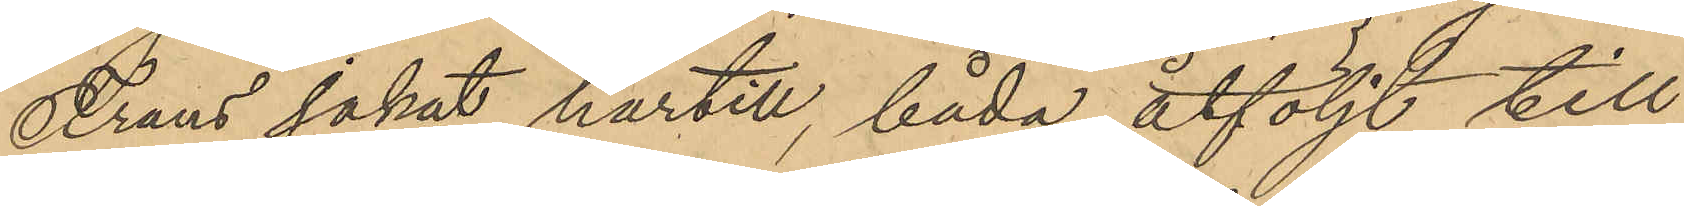Frans jakat härtill, båda åtföljt till
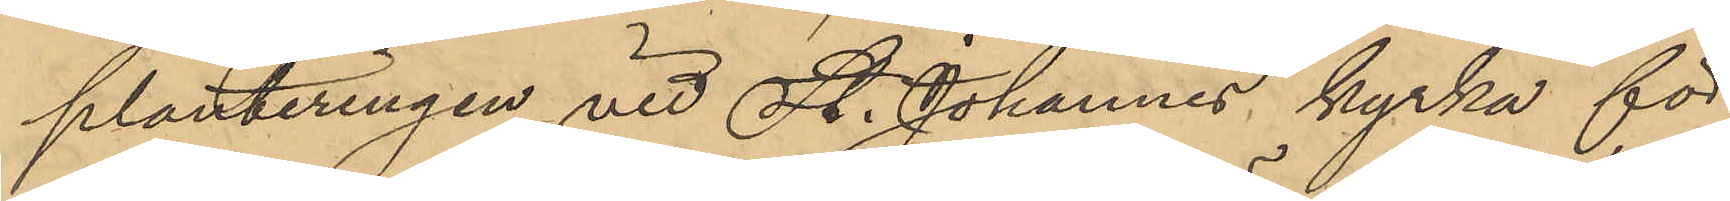planteringen vid St. Johannes kyrka för
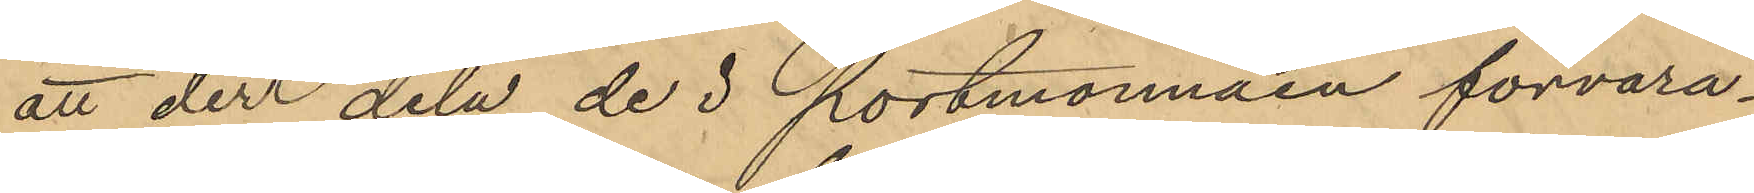att der dela de i portmonnäen förvara¬
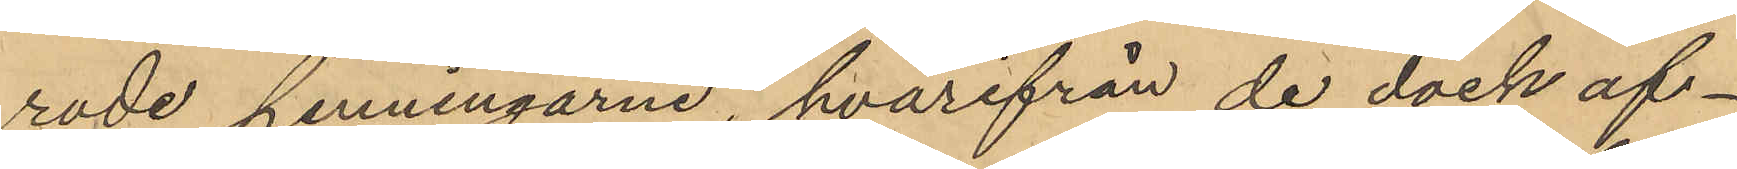rade penningarne, hvarifrån de dock af¬
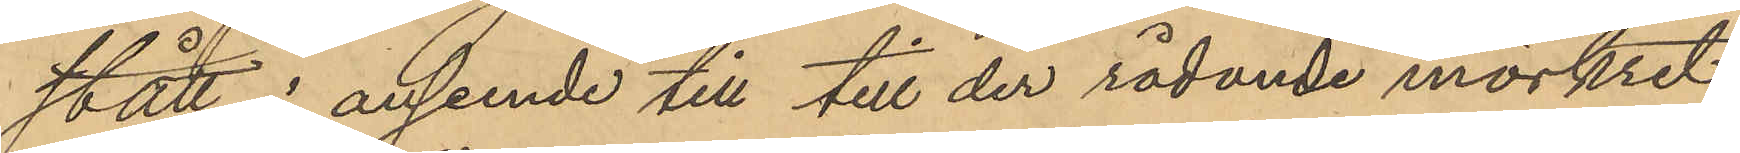stått i anseende till till der rådande mörkret, 
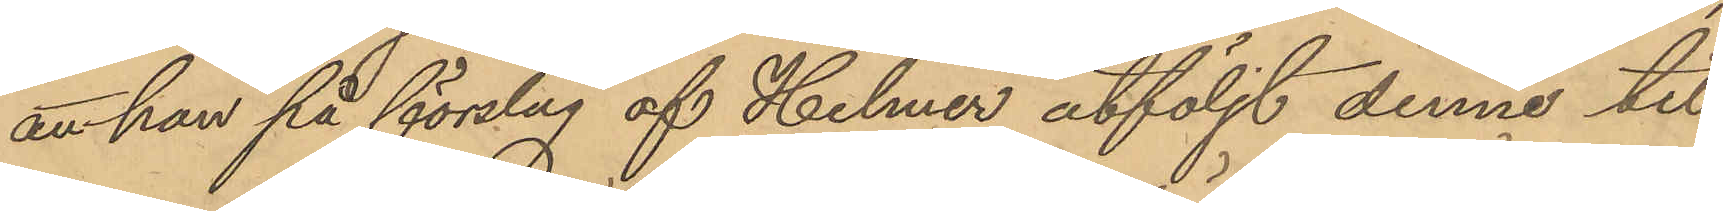att han på förslag af Helmer åtföljt denne till
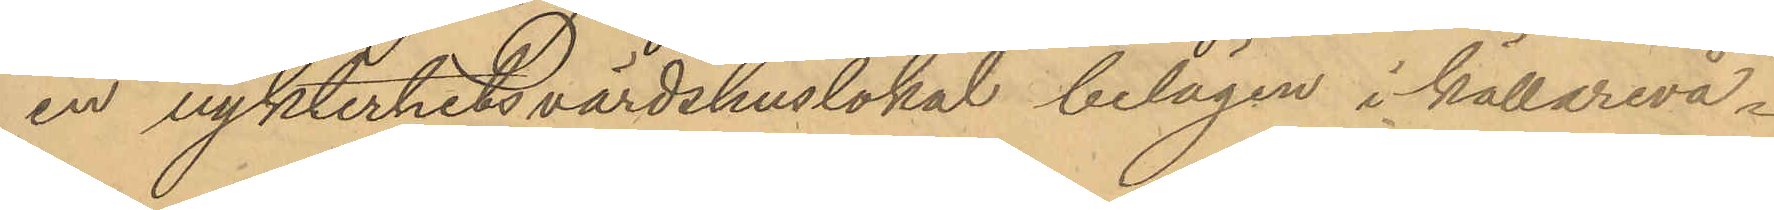en nykterhetsvärdshuslokal belägen i källarevå¬
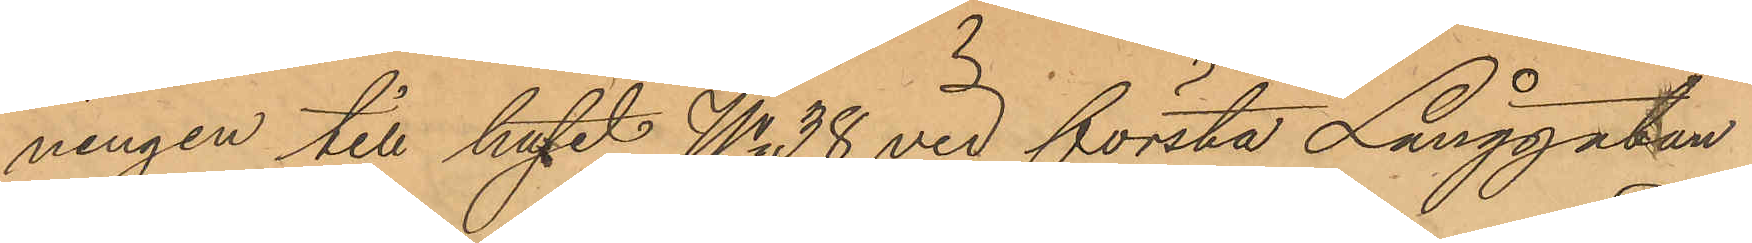ningen till huset No 38 vid första Långgatan
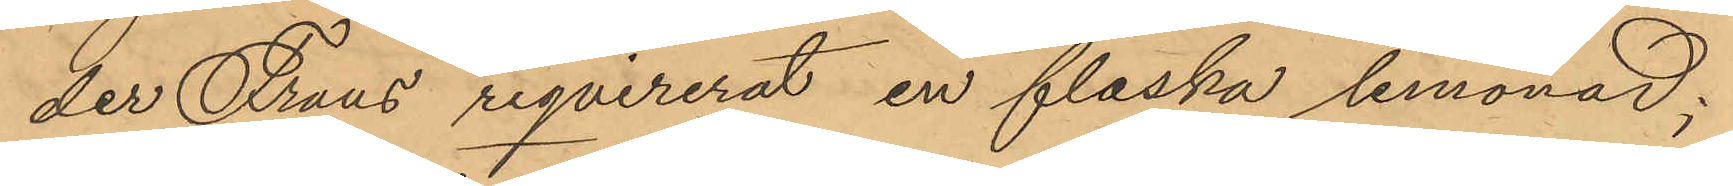der Frans reqvirerat en flaska lemonad;
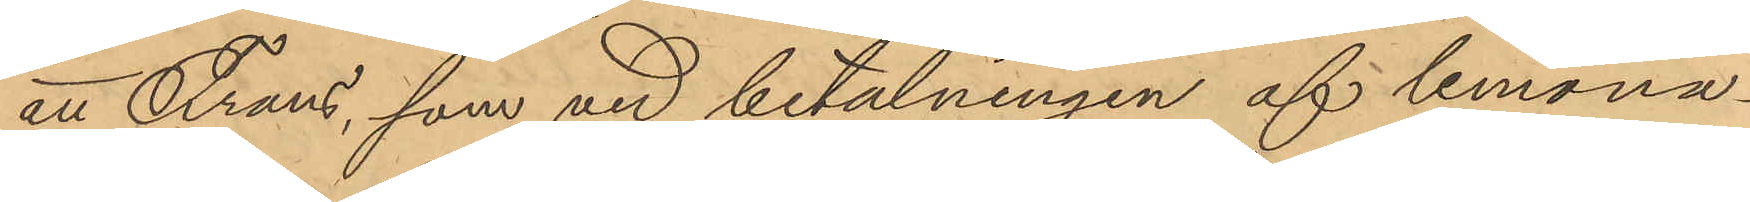att Frans, som vid betalningen af lemona¬
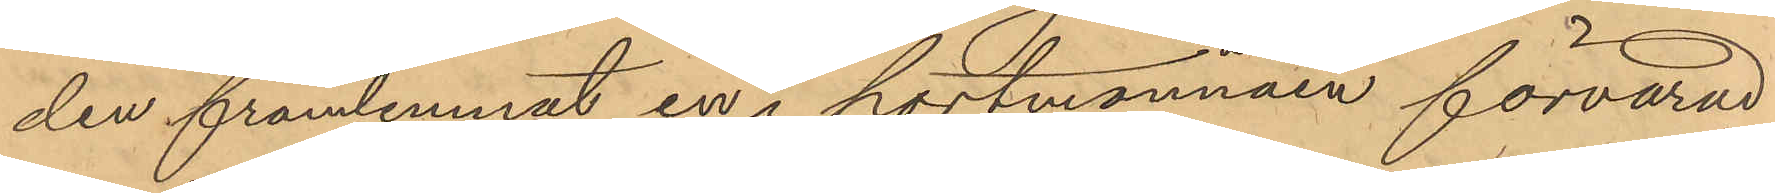den framlemnat en i portmonnäen förvarad
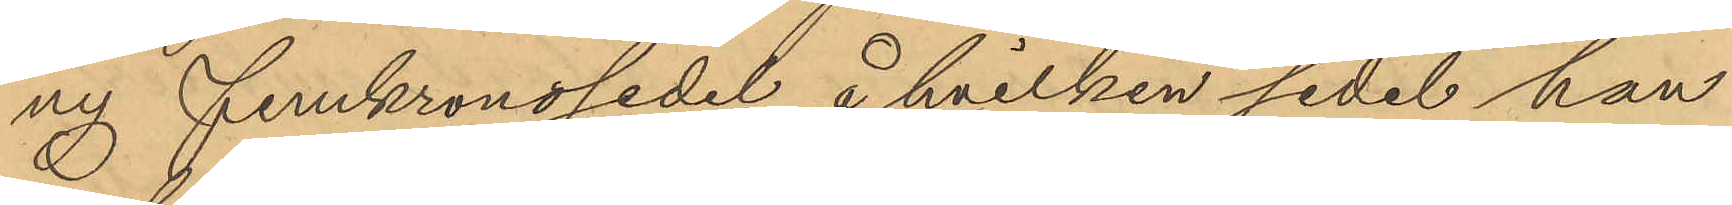ny Femkronosedel å hvilken sedel han
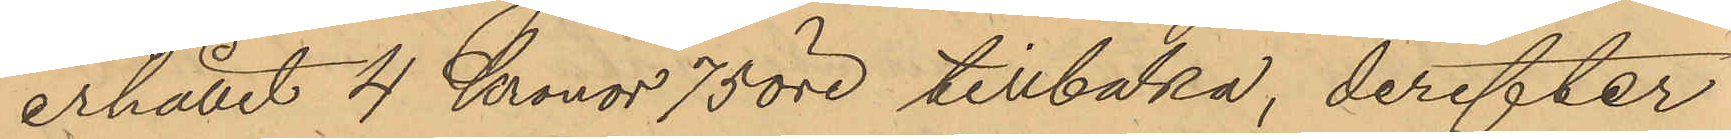erhållit 4 Kronor 75 öre tillbaka, derefter
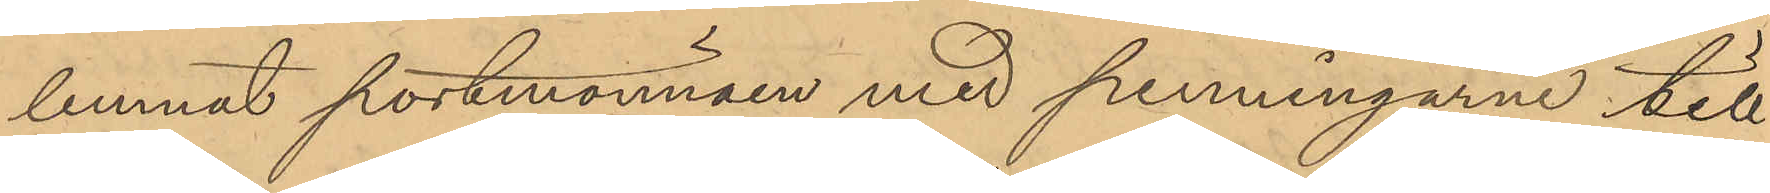lemnat portmonnäen med penningarne till
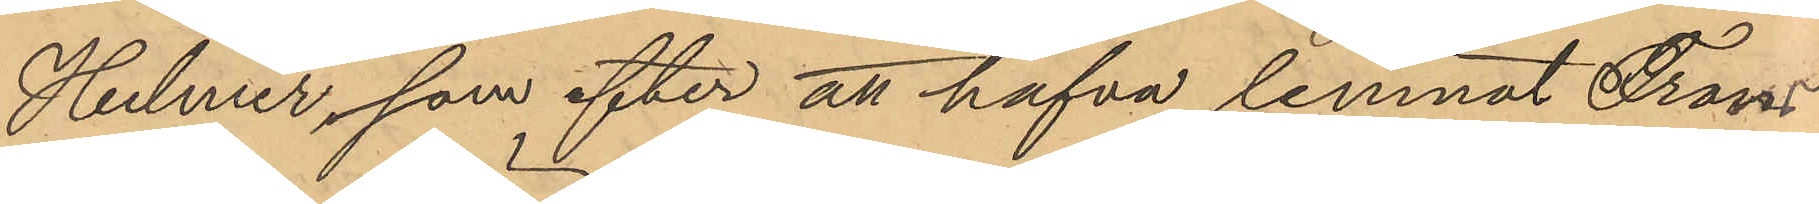Hilmer, som efter att hafva lemnat Frans
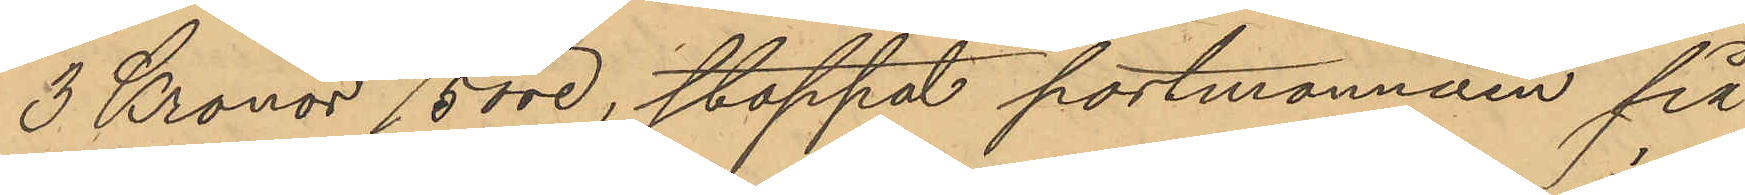3 Kronor 75 öre, stoppat portmonnäen på
